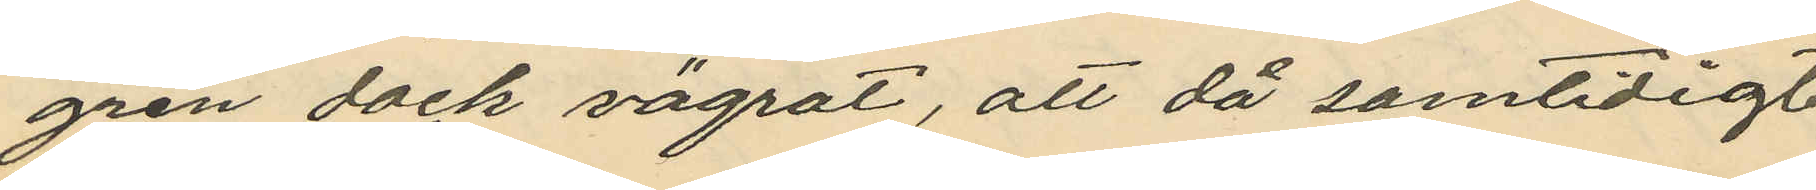gren dock vägrat, att då samtidigt
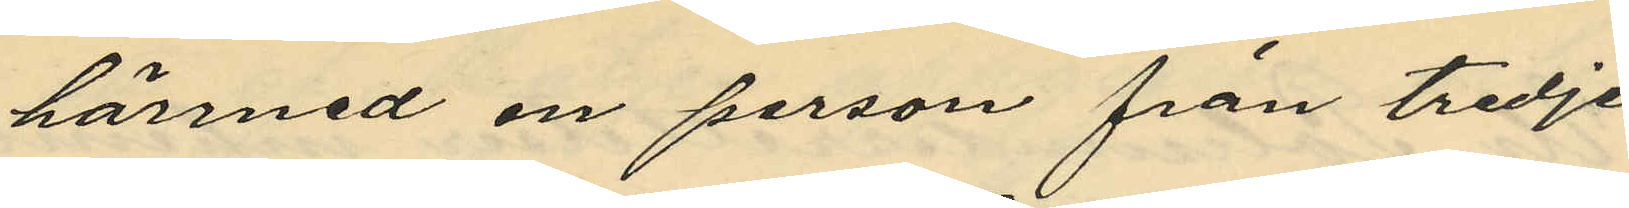härmed en person från tredje
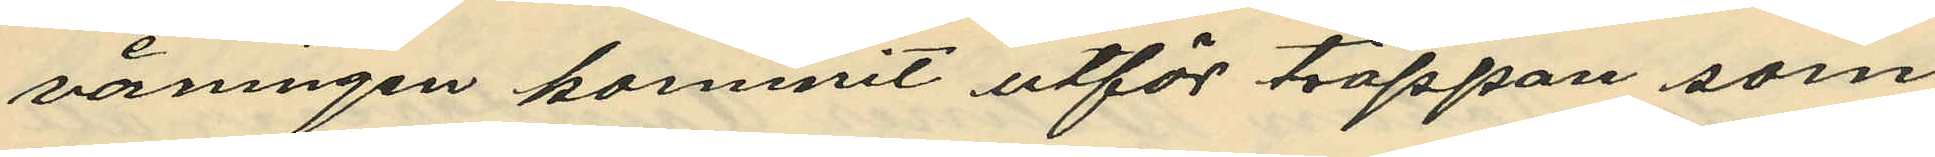våningen kommit utför trappan som
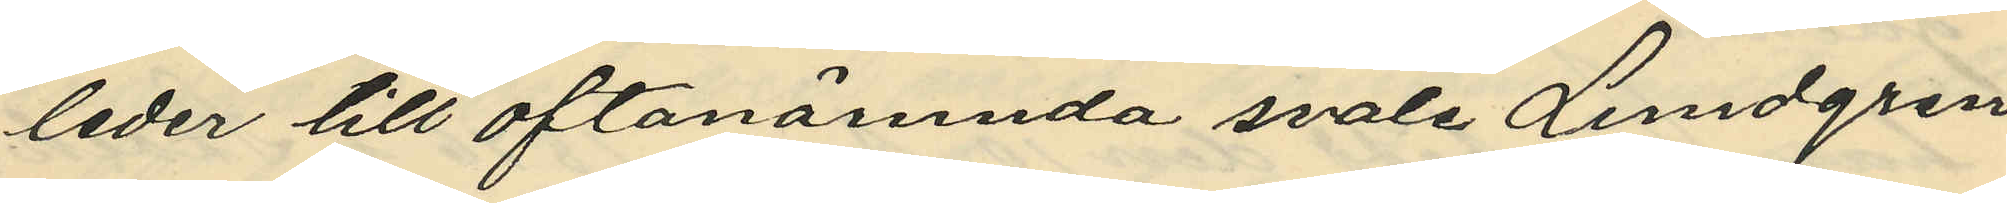leder till oftanämnda svale Lundgren
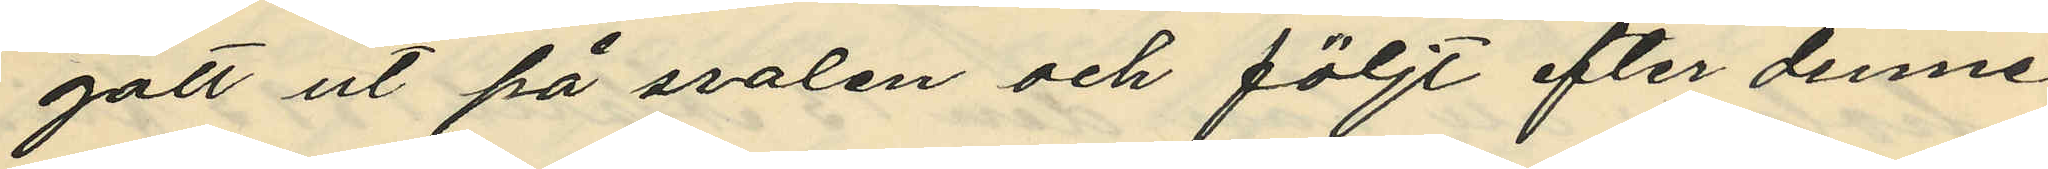gått ut på svalen och följt efter denne
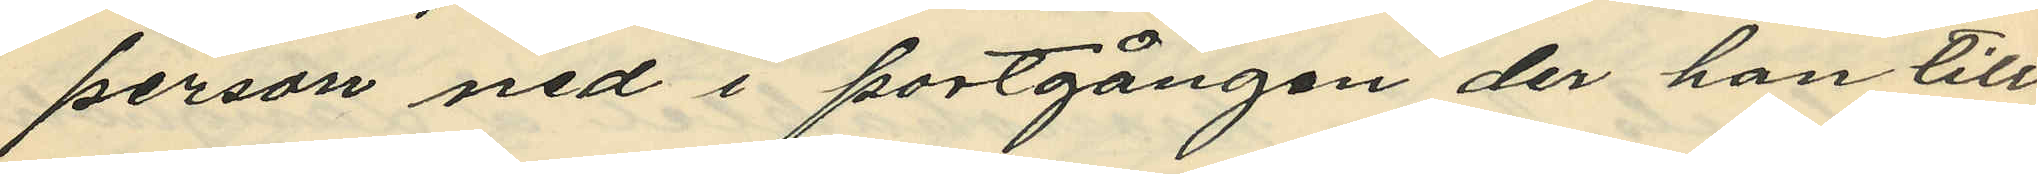person ned i portgången der han till
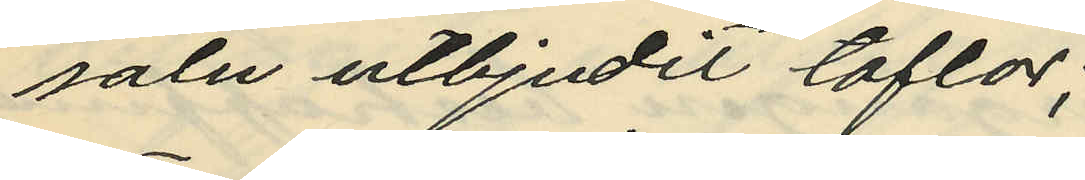salu utbjudit taflor;
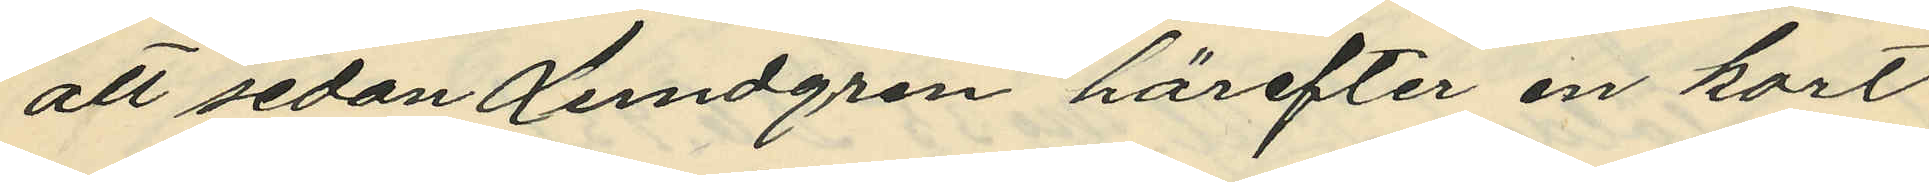att sedan Lundgren härefter en kort
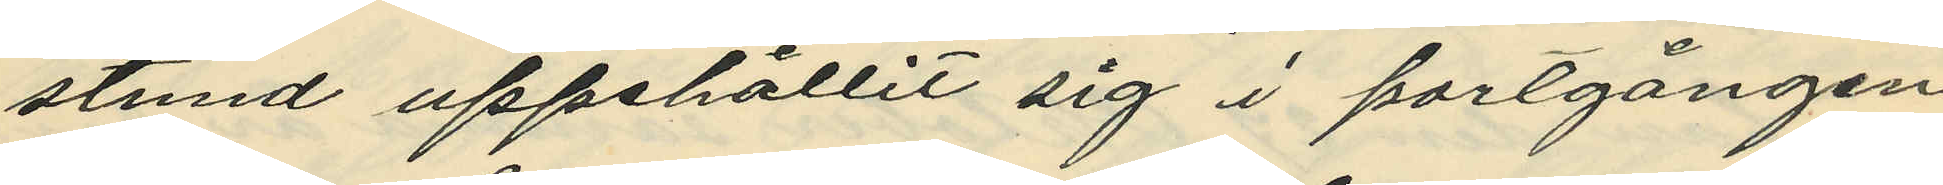stund uppehållit sig i portgången
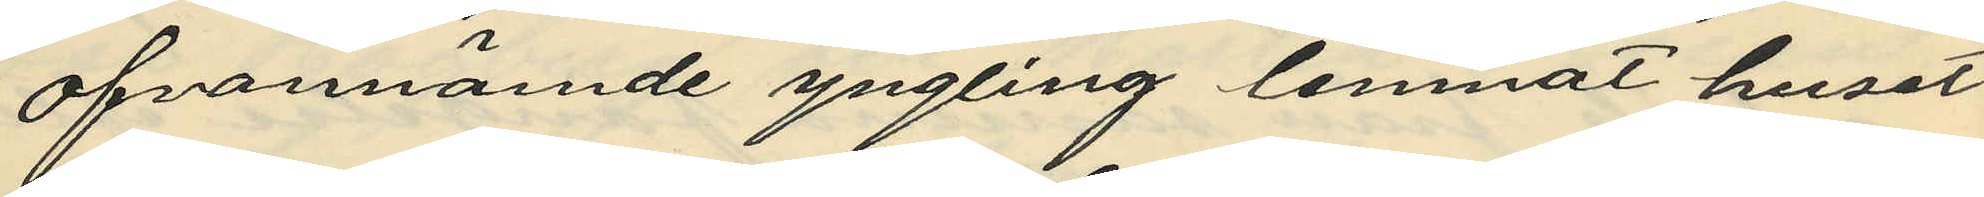ofvannämde yngling lemnat huset
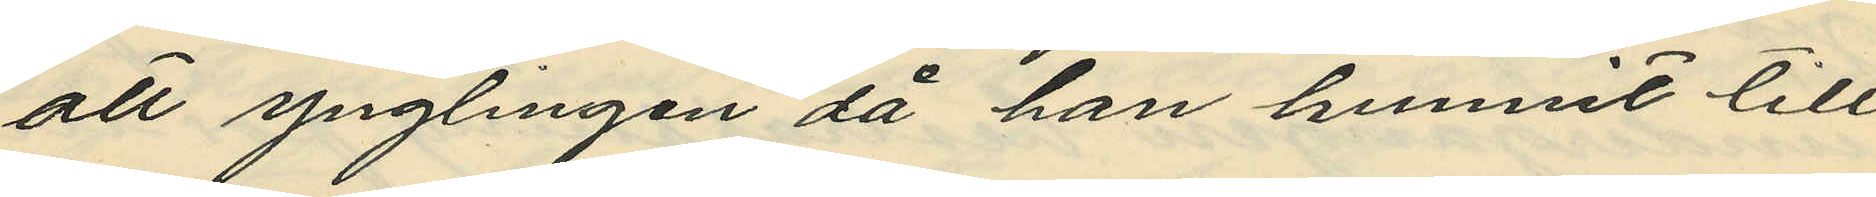att ynglingen då han hunnit till
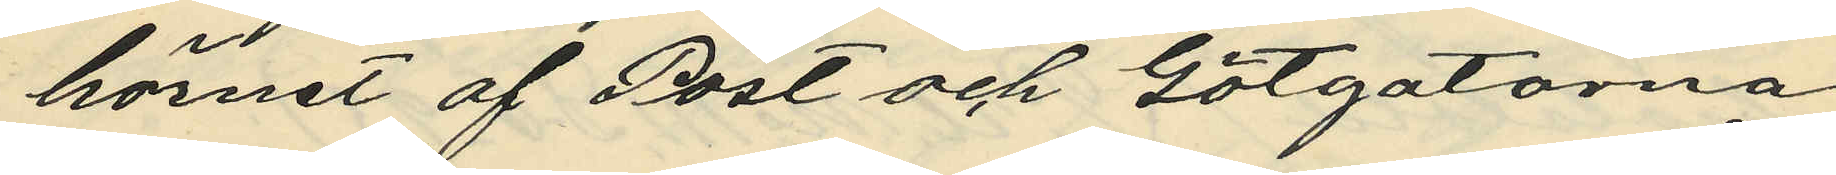hörnet af Post och Götgatorna
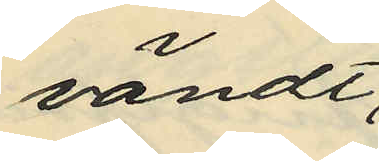vändt
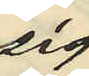sig
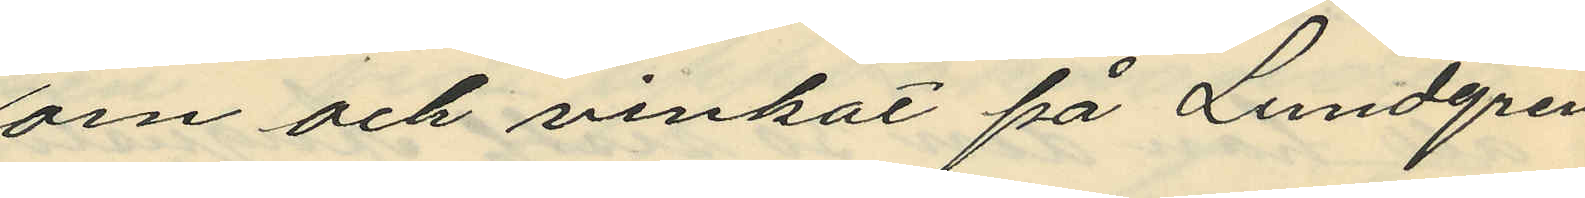om och vinkat på Lundgren
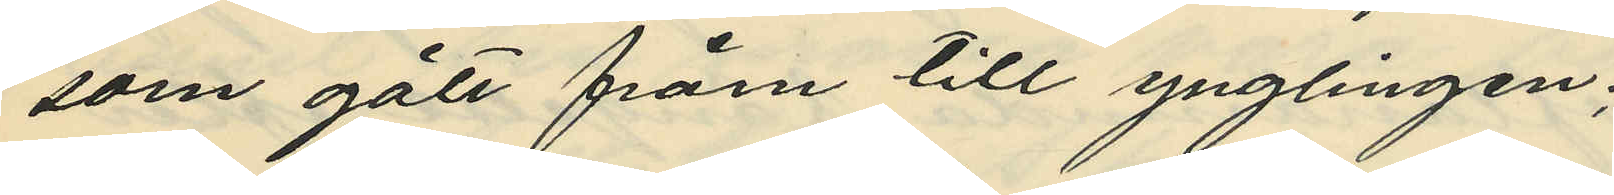som gått fråm till ynglingen;
